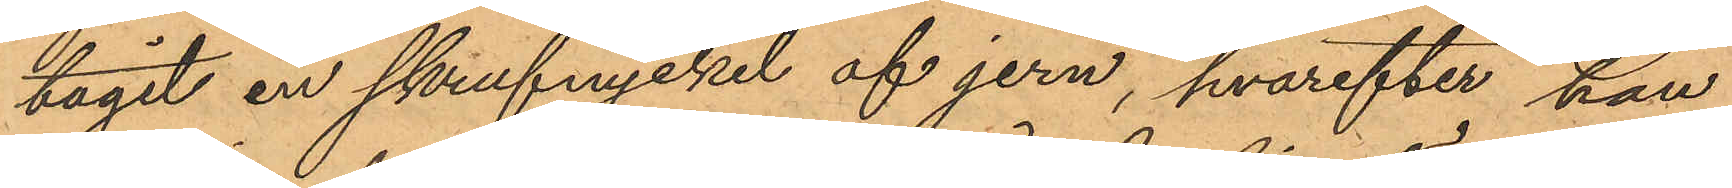tagit en skrufnyckel af jern, hvarefter han,
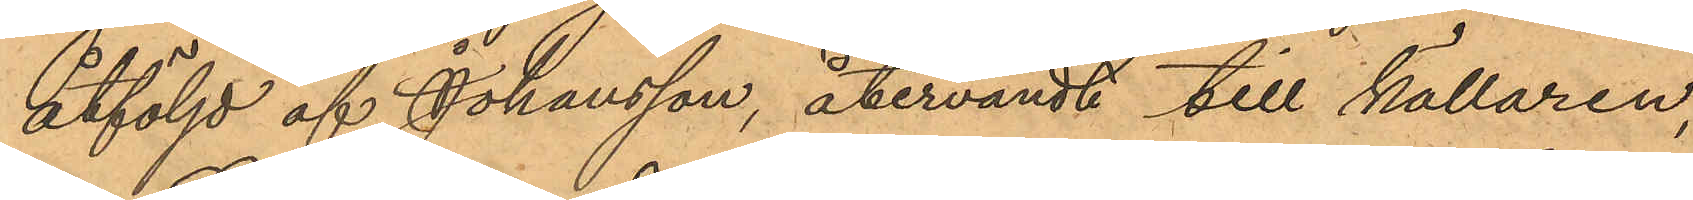åtföljd af Johansson, återvändt till källaren,
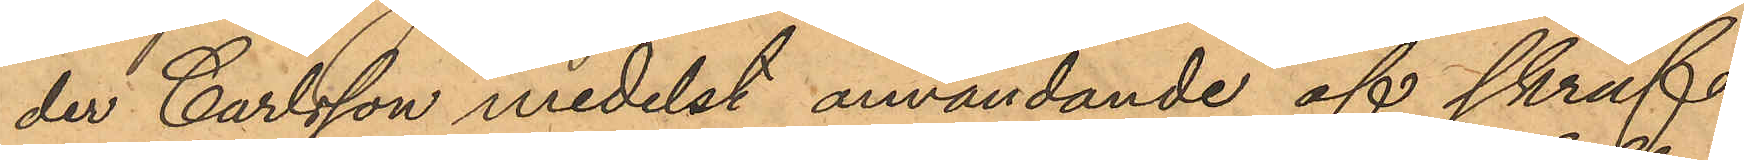der Carlsson medelst användande af skruf¬
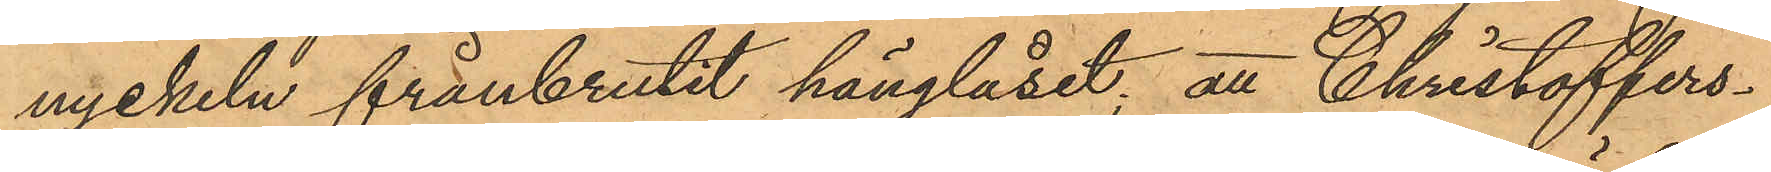nyckeln frånbrutit hänglåset; att Christoffers¬
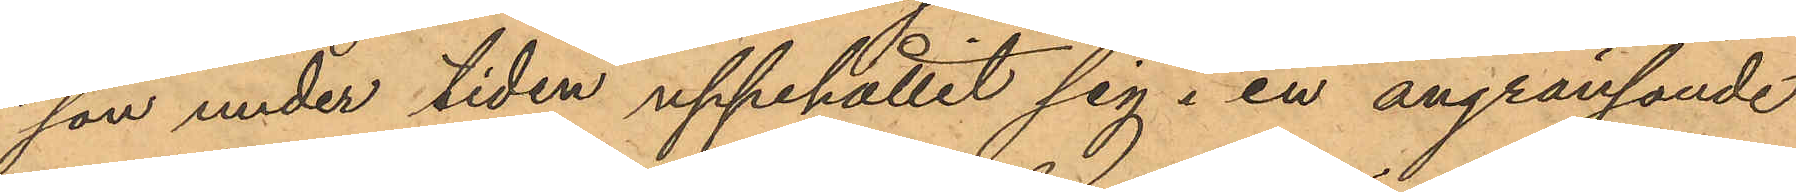son under tiden uppehållit sig i en angränsande
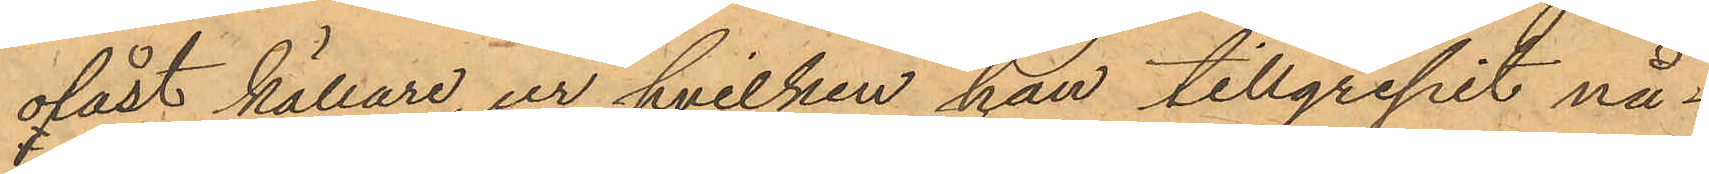olåst källare, ur hvilken han tillgripit nå¬
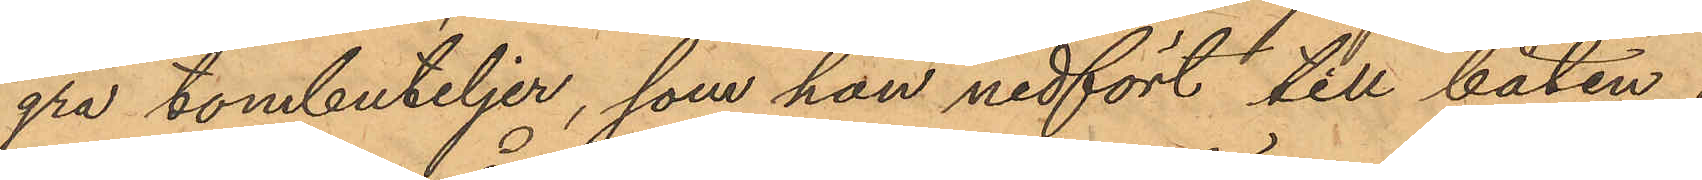gra tombuteljer, som han nedfört till båten;
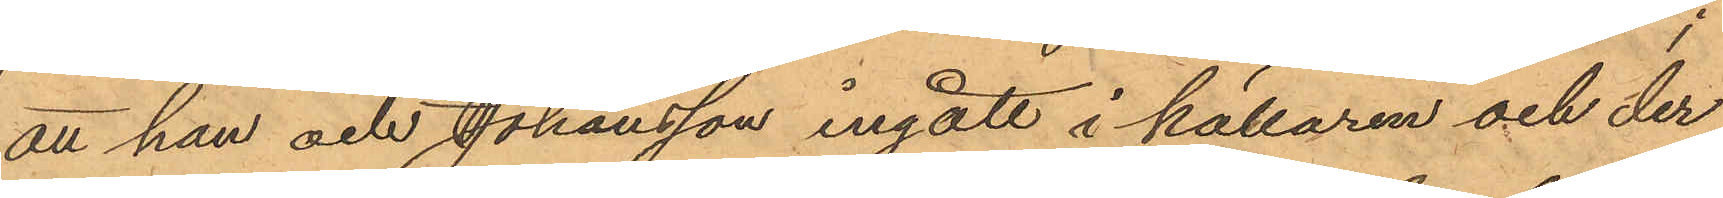att han och Johansson ingått i källaren och der
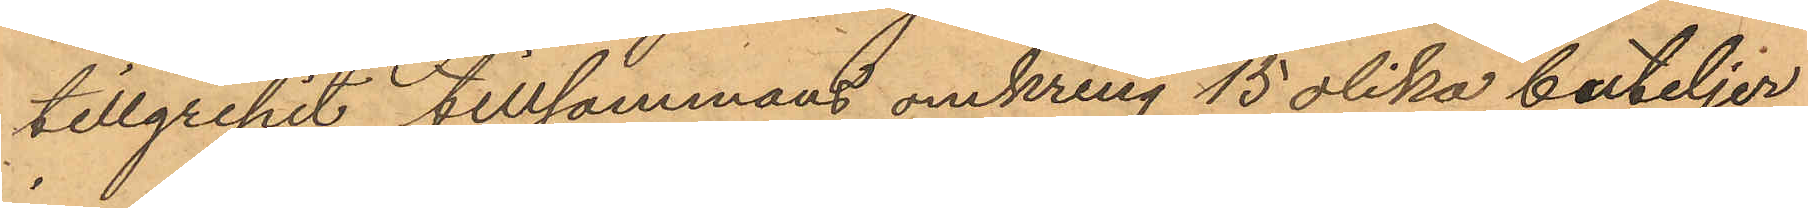tillgripit tillsammans omkring 15 olika buteljer,
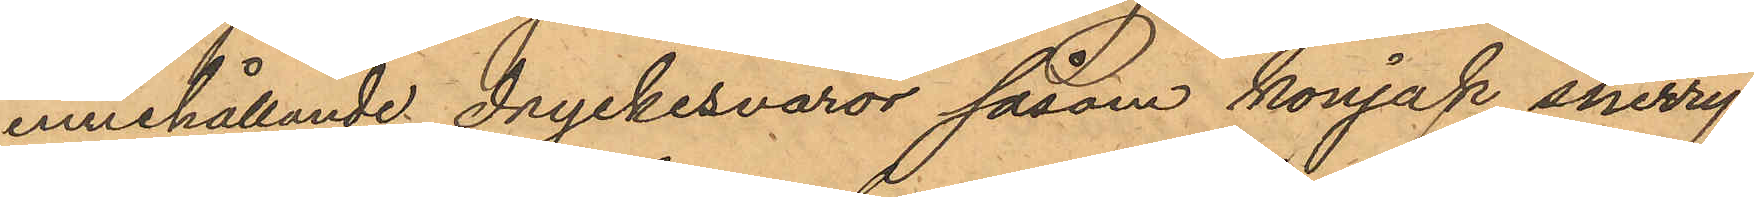innehållande dryckesvaror såsom konjak, sherry,
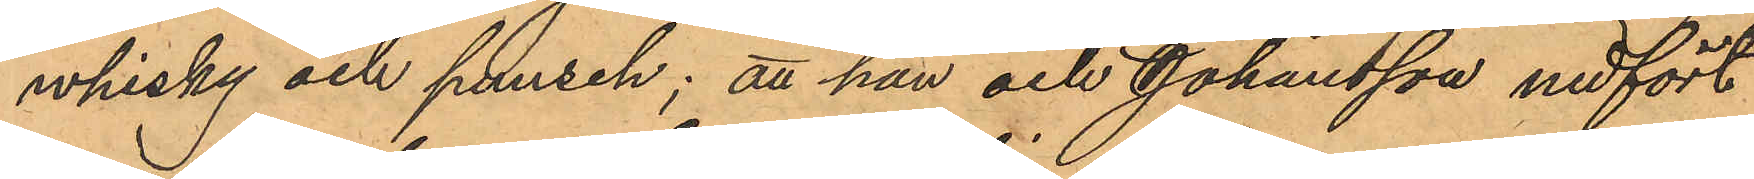whisky och punsch; att han och Johansson nedfört
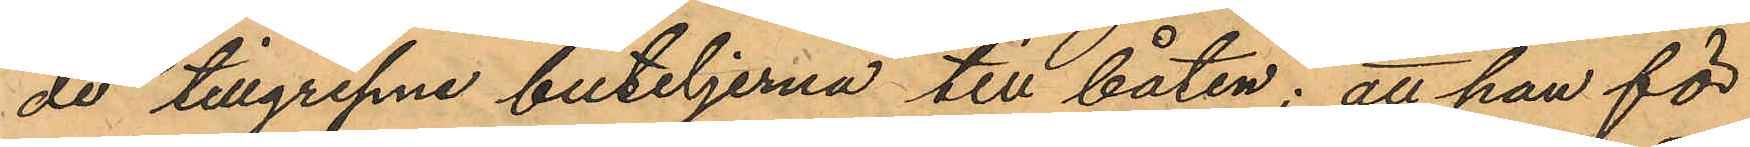de tillgripne buteljerna till båten; att han för
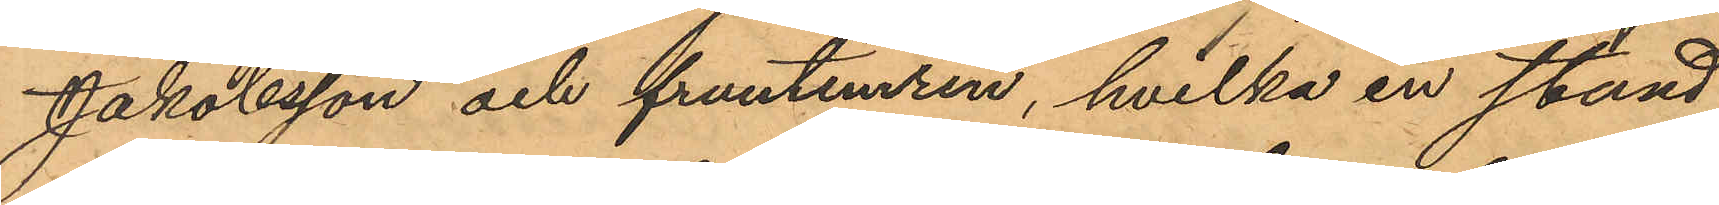Jakobsson och fruntimren, hvilka en stund
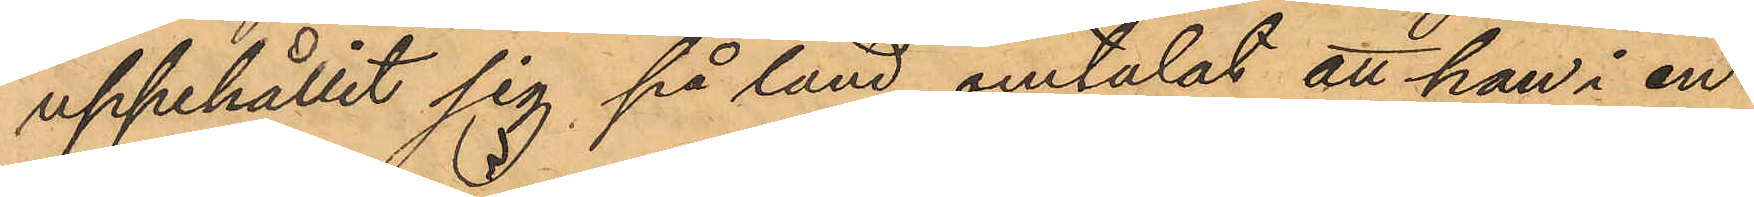uppehållit sig på land, omtalat att han i en
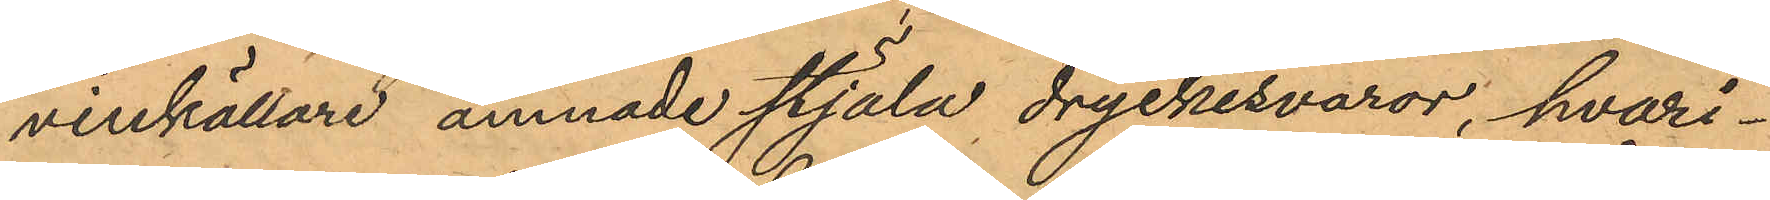vinkällare ämnade stjäla dryckesvaror, hvari¬
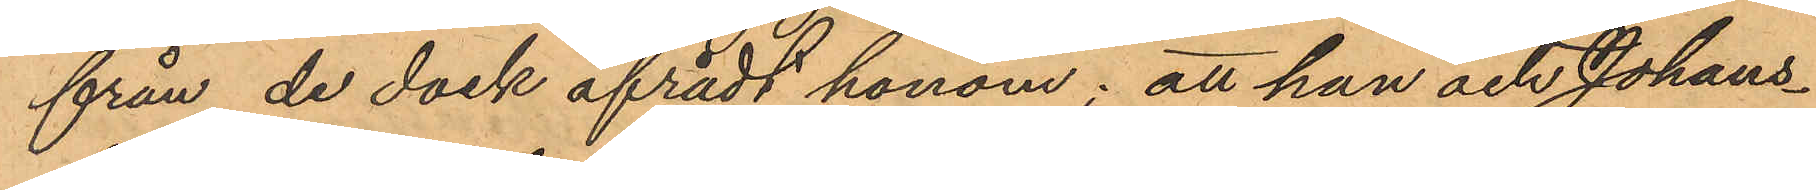från de dock afrådt honom; att han och Johans¬
